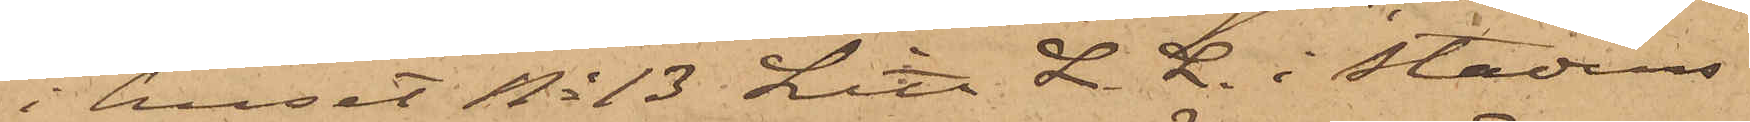i huset No 13 Litt. L. L. i Stadens
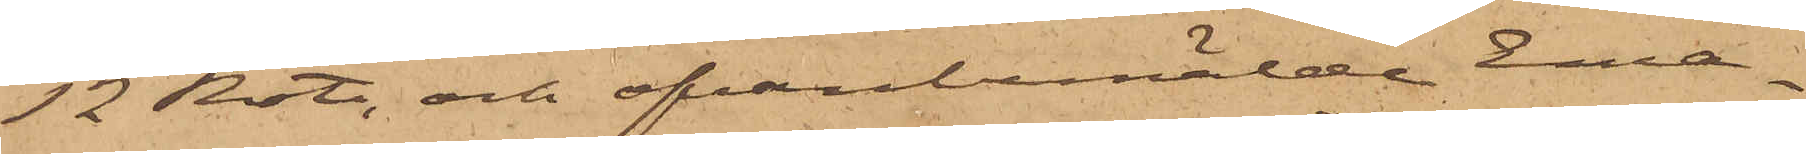12 Rote, och ofvanbemälde Ema¬
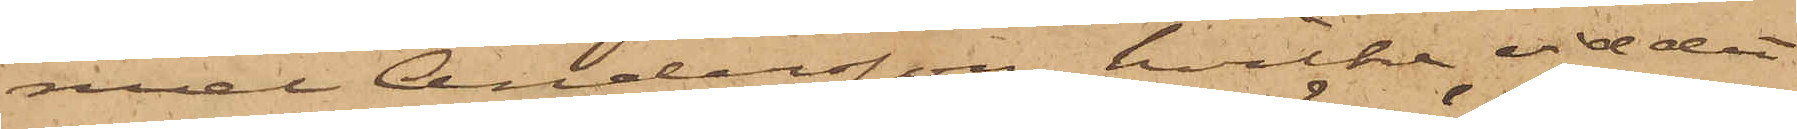nuel Andersson, hvilka vid det
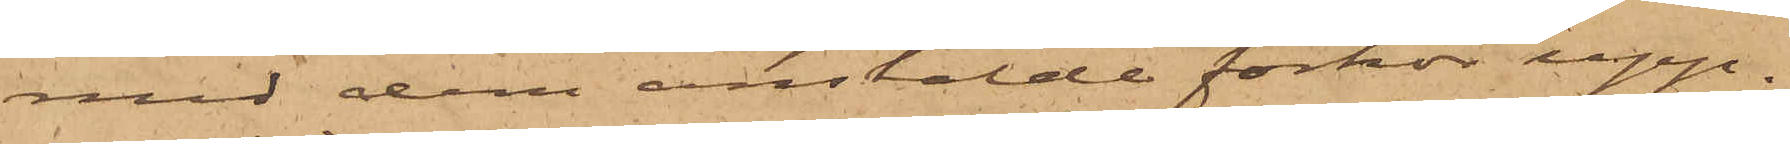med dem anstälde förhör upp¬
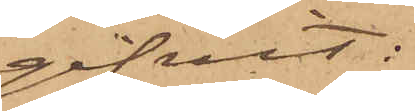gifvit:
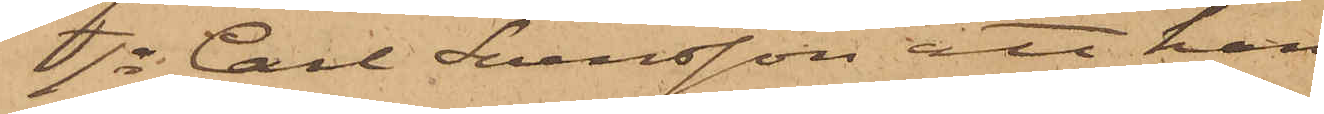1o Carl Svensson att han
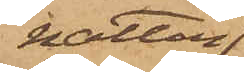natten
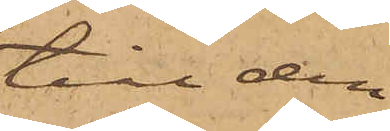till den
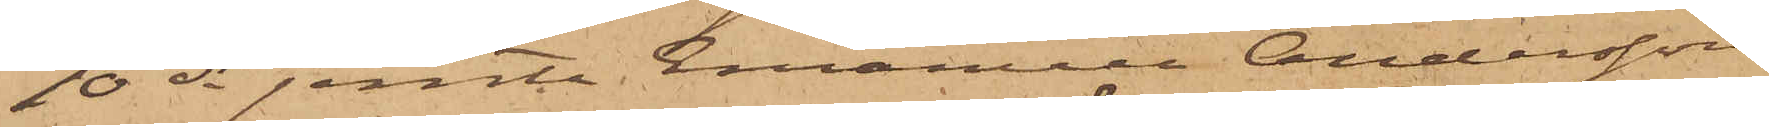10 ds jemte Emanuel Andersson
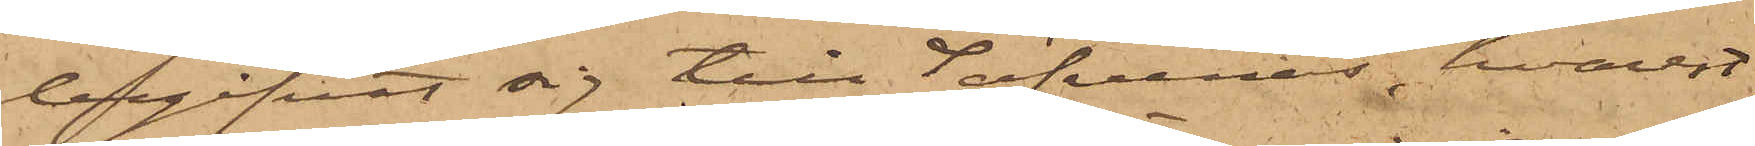begifvit sig till Säfvenäs, hvarest
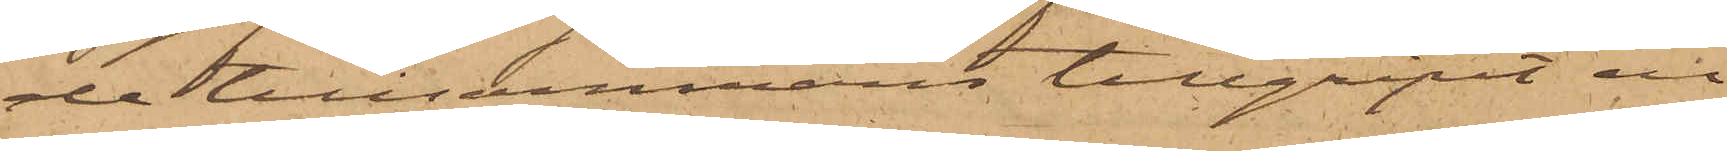de tillsammans tillgripit en
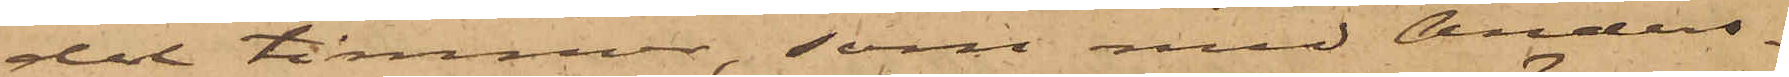del timmer, som med Anders¬
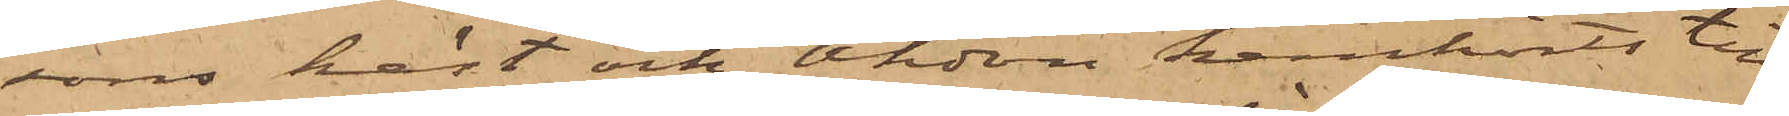sons häst och Åkdon hemkörts till
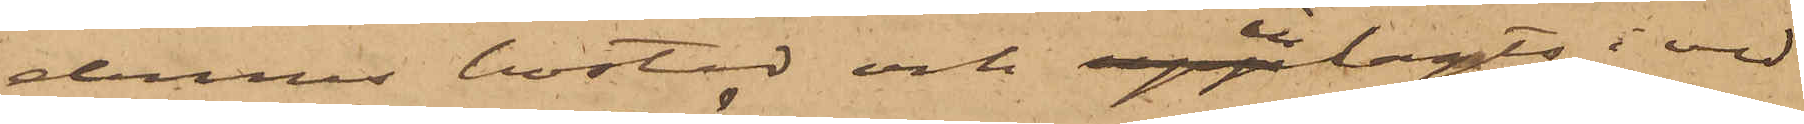dennes bostad och inlagts i ved¬
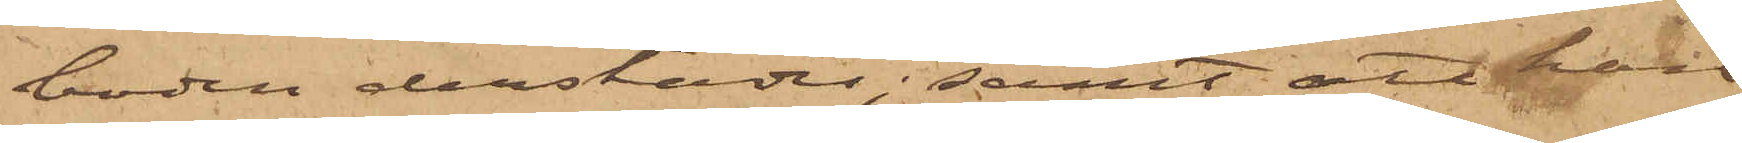boden derstädes; samt att han
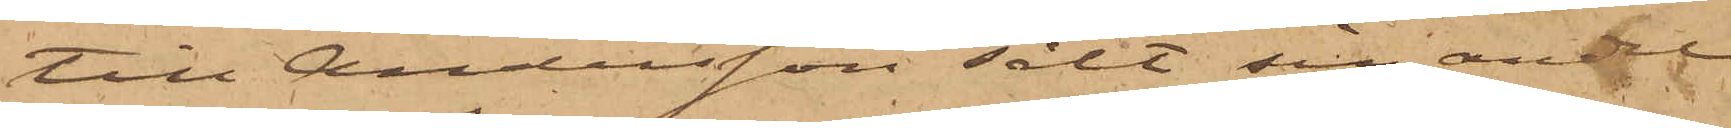till Andersson sålt sin andel
